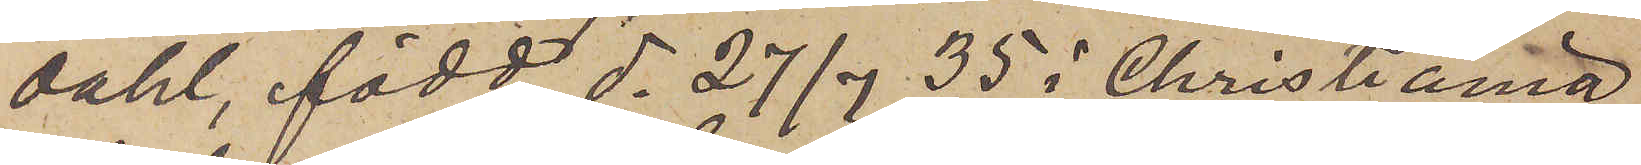dahl, född d. 27/7 35 i Christiania
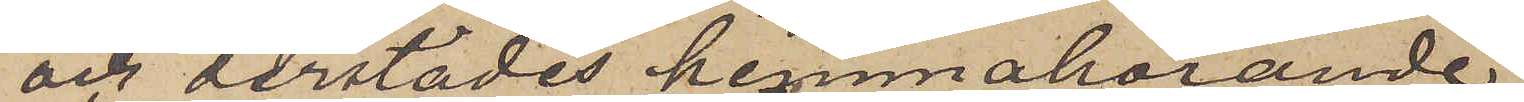och derstädes hemmahörande,
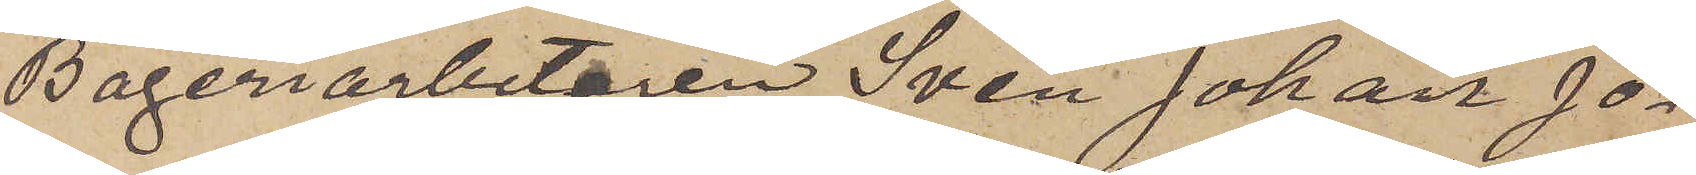Bageriarbetaren Sven Johan Jo¬
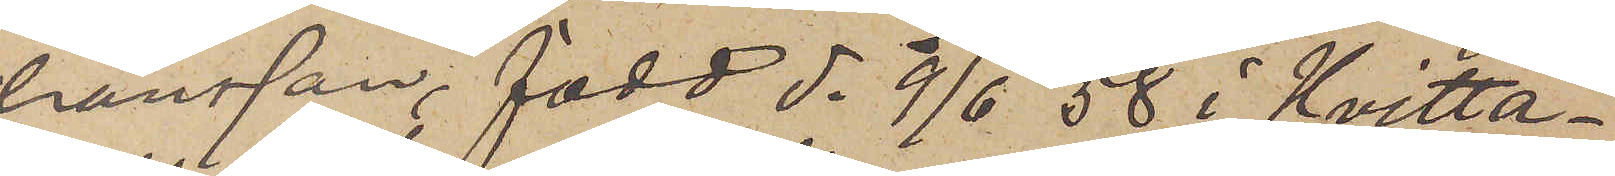hansson, född d. 9/6 58 å Hvitta¬
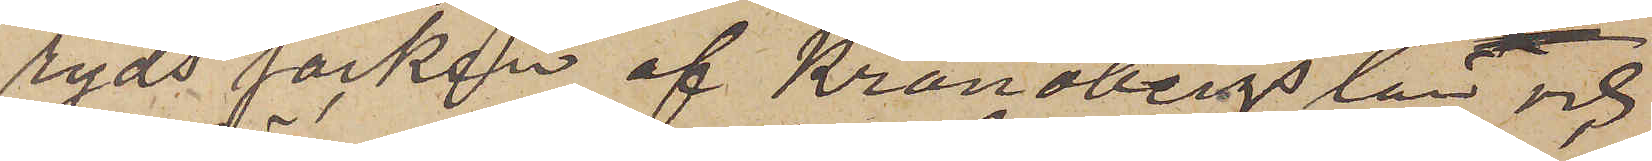ryds socken af Kronobergs län och
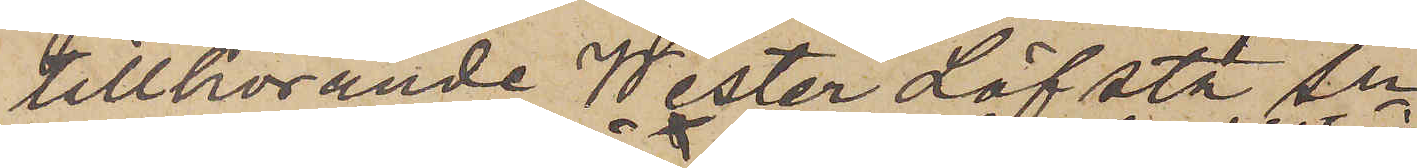tillhörande WesterLöfsta Sn
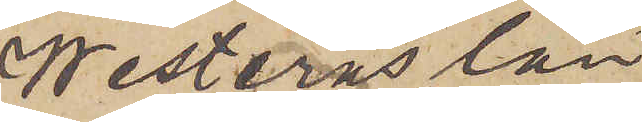Westerås län
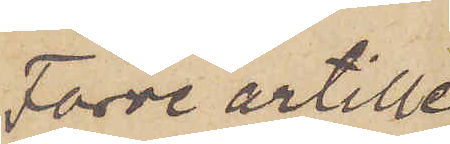Förre artille¬
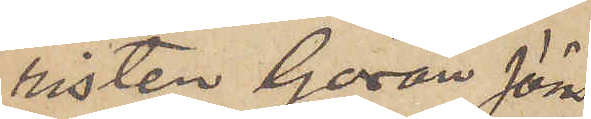risten Göran Jöns¬
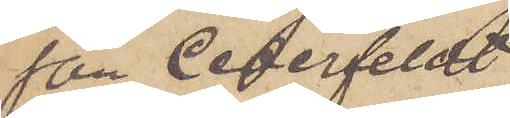son Cederfeldt
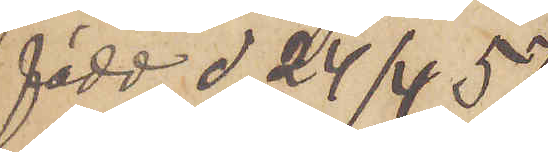född d. 24/4 57
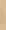i
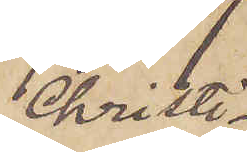Christi¬
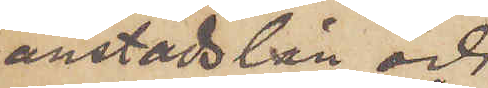anstads län och
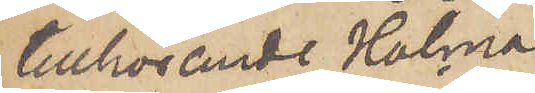tillhörande Holma
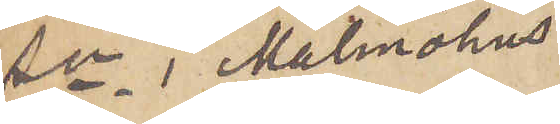Sn i Malmöhus
